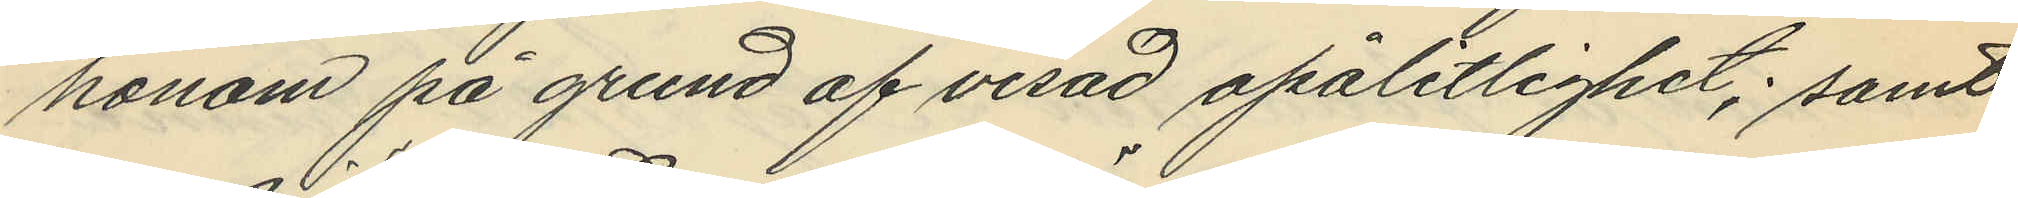honom på grund af visad opålitlighet; samt
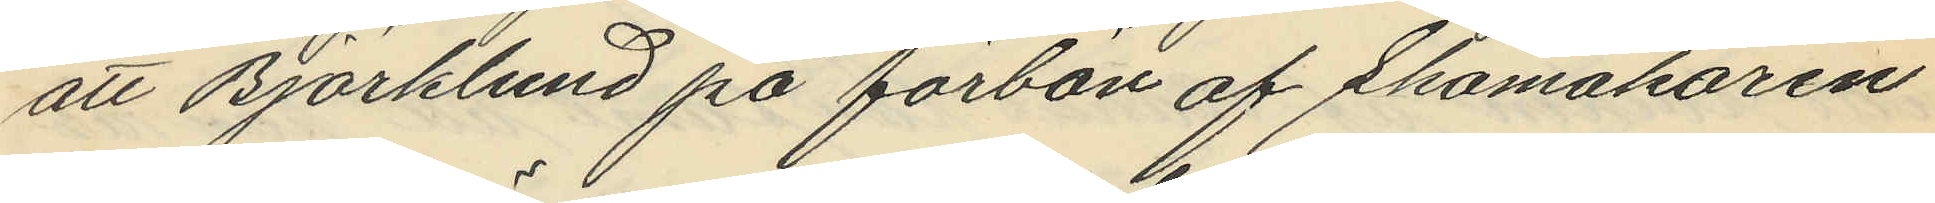att Björklund på förbön af Skomakaren
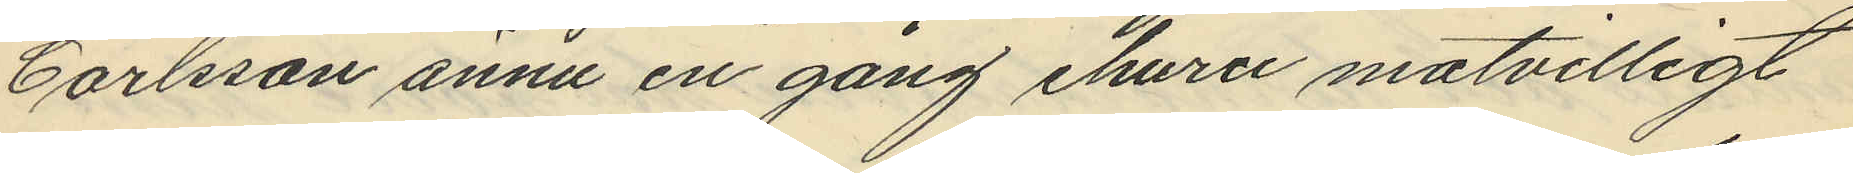Carlsson ännu en gång ehuru motvilligt
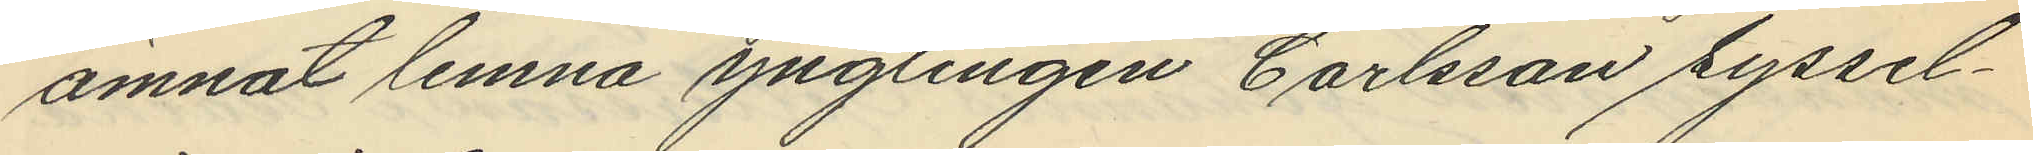ämnat lemna ynglingen Carlsson syssel¬
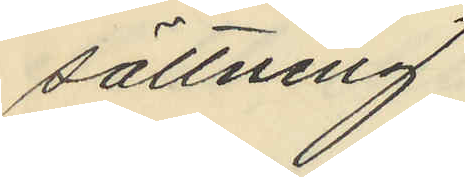sättning.
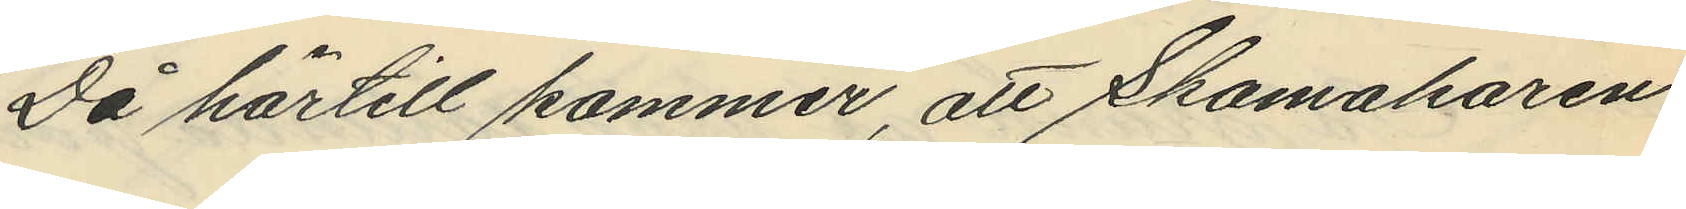Då härtill kommer, att Skomakaren
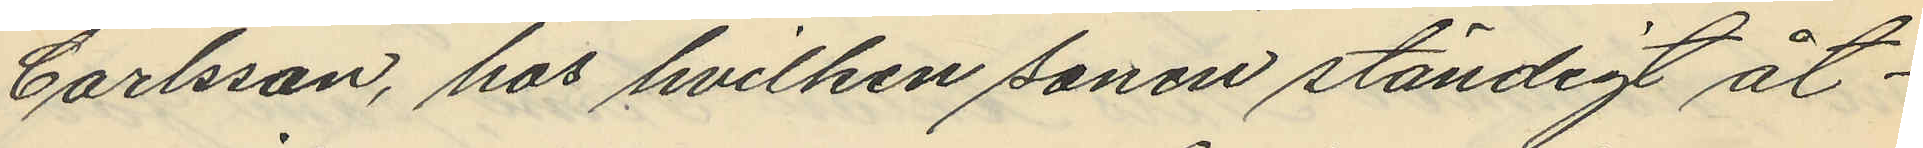Carlsson, hos hvilken sonen ständigt åt¬
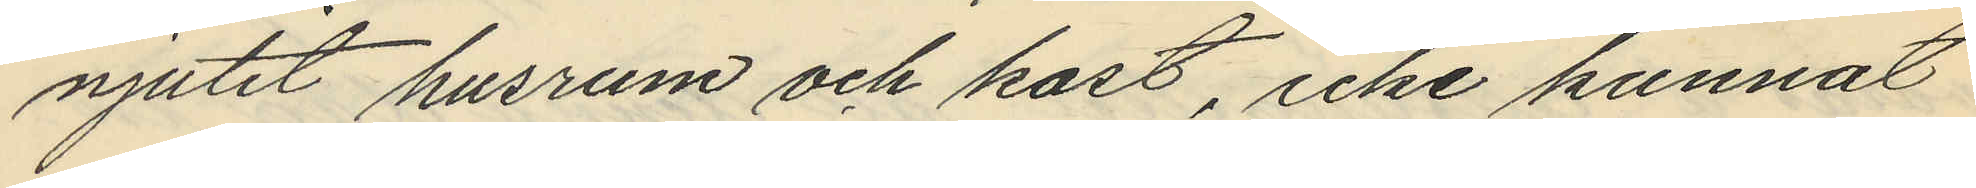njutit husrum och kost, icke kunnat
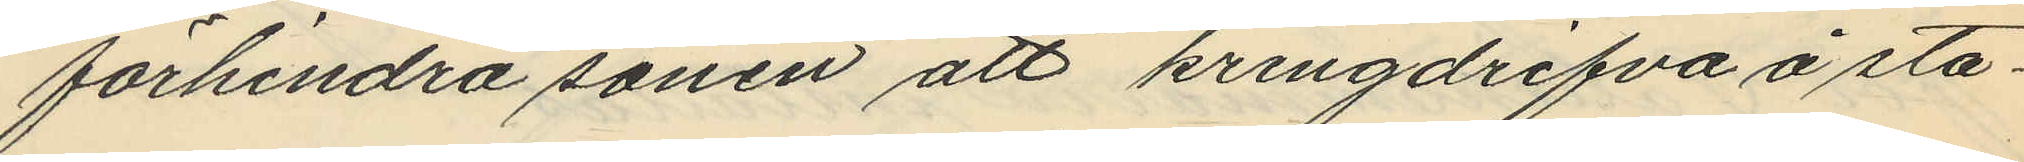förhindra sonen att kringdrifva å sta¬
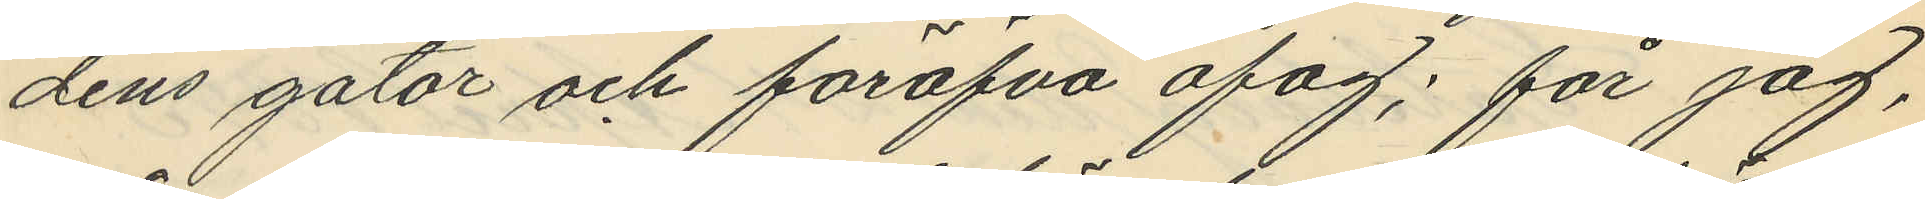dens gator och föröfva ofog; får jag,
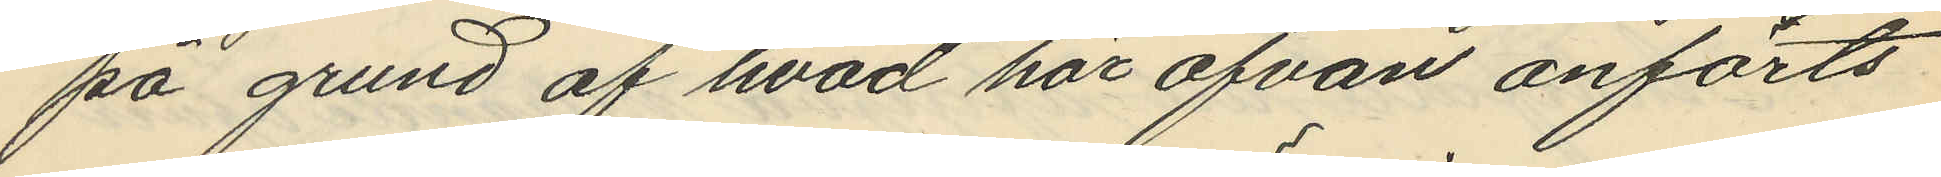på grund af hvad här ofvan anförts
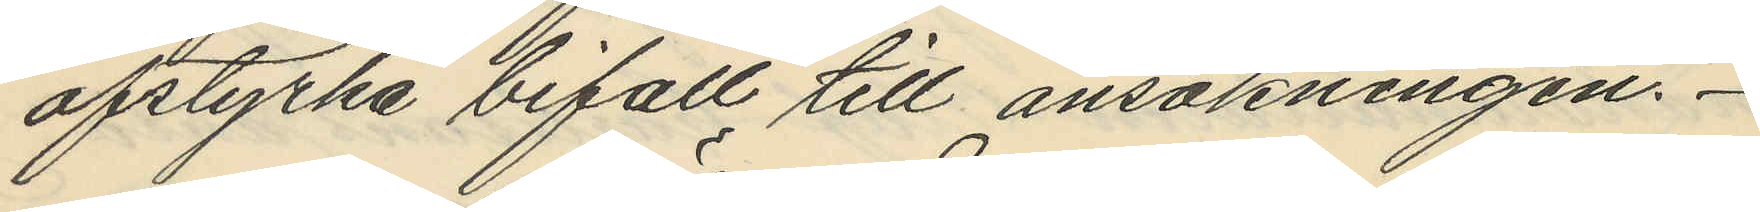afstyrka bifall till ansökningen.
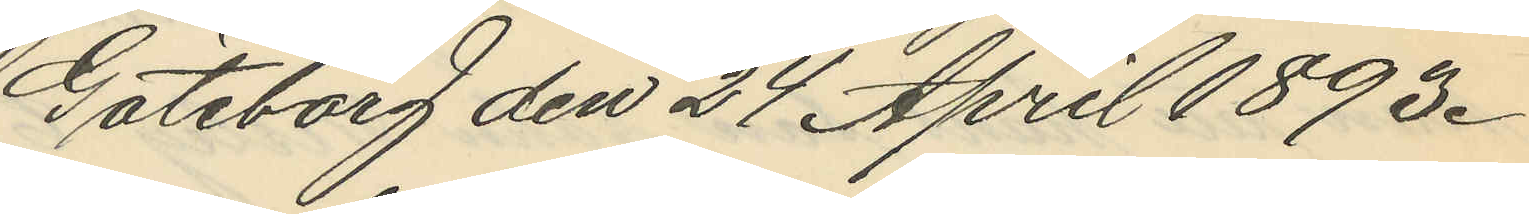Göteborg den 24 April 1893.
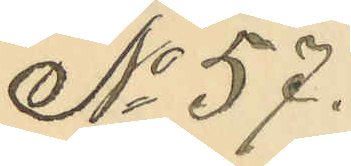No 57.
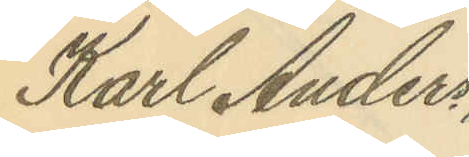Karl Anders
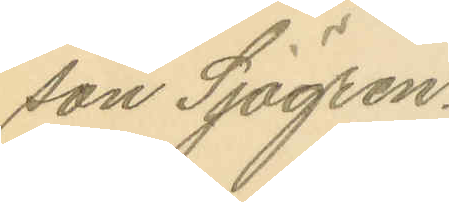son Sjögren.
